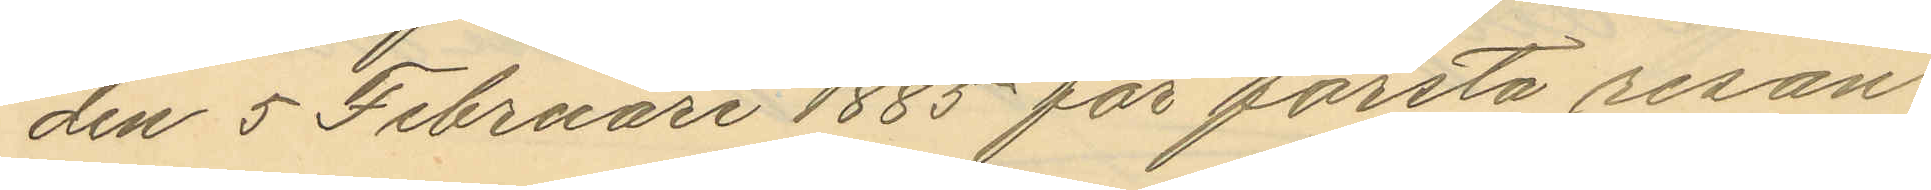den 5 Februari 1885 för första resan
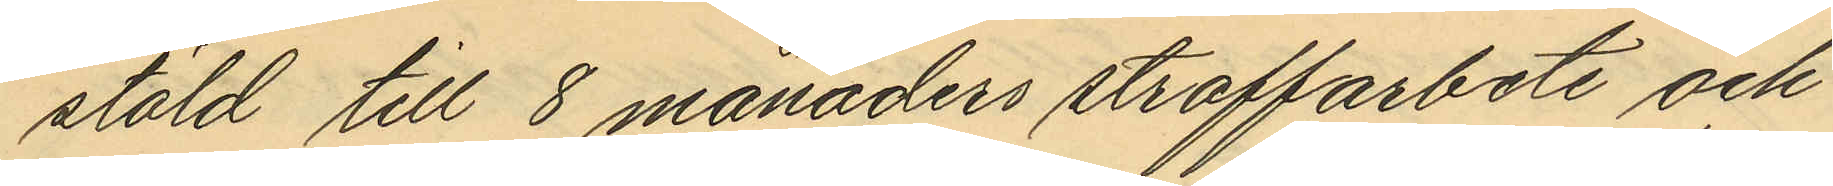stöld till 8 månaders straffarbete och
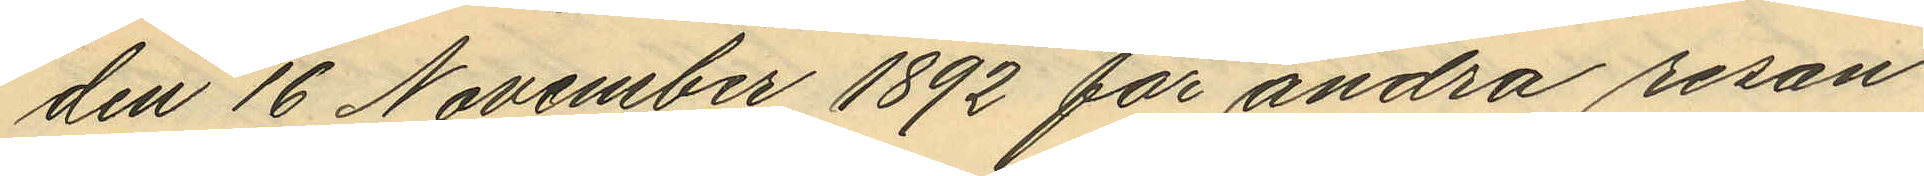den 16 November 1892 för andra resan
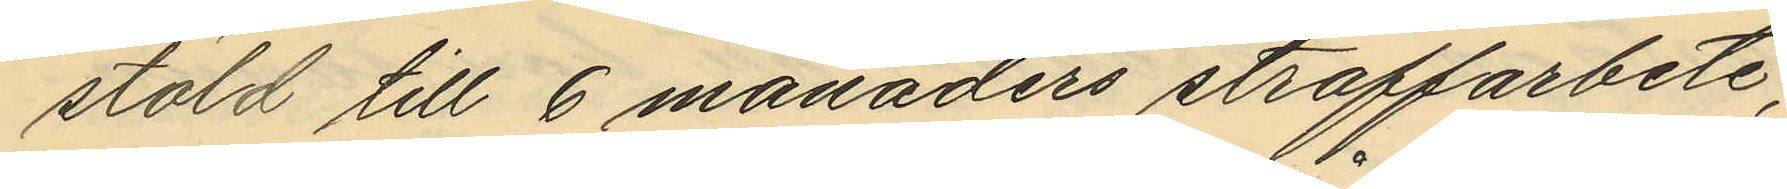stöld till 6 månaders straffarbete,
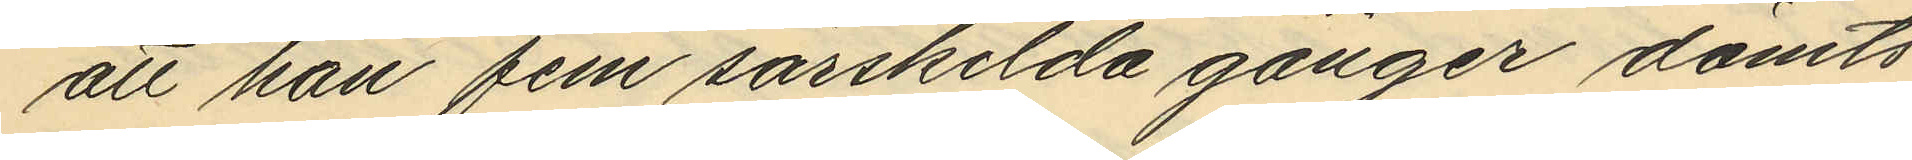att han fem särskilda gånger dömts
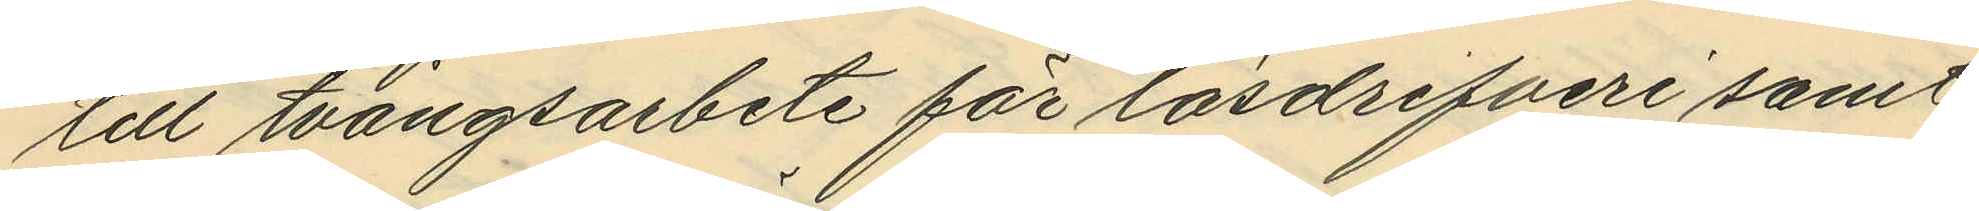till tvångsarbete för lösdrifveri samt
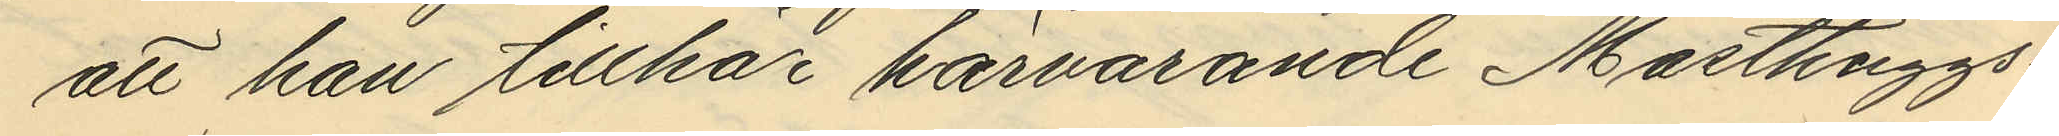att han tillhör härvarande Masthuggs¬
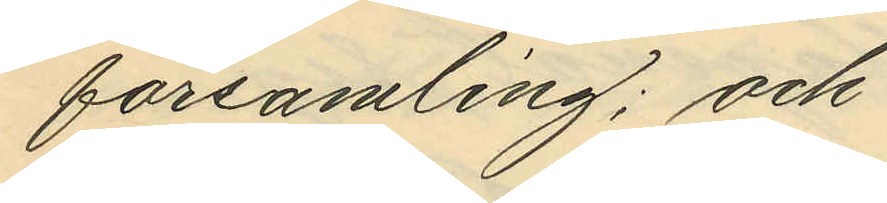församling; och
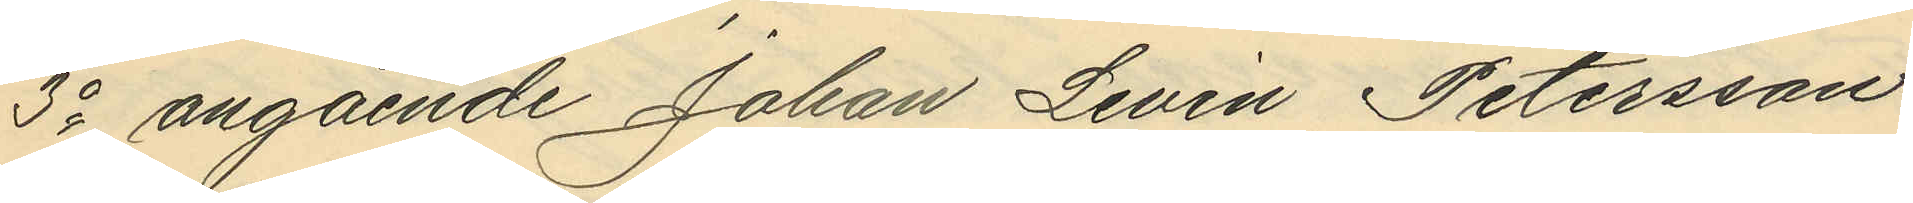3o angående Johan Levin Petersson
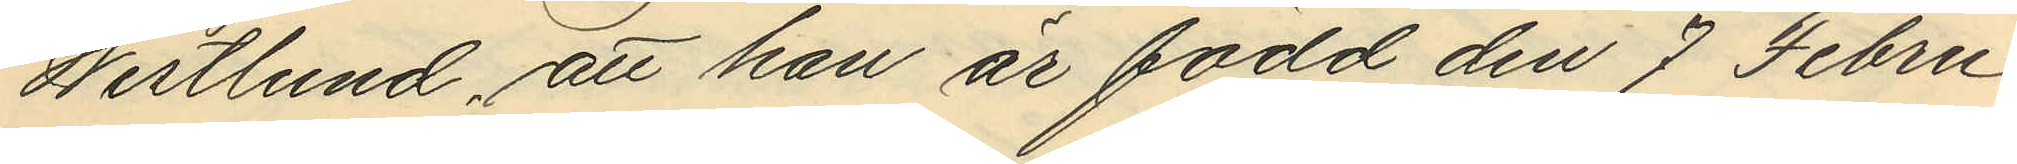Westlund, att han är född den 7 Febru¬
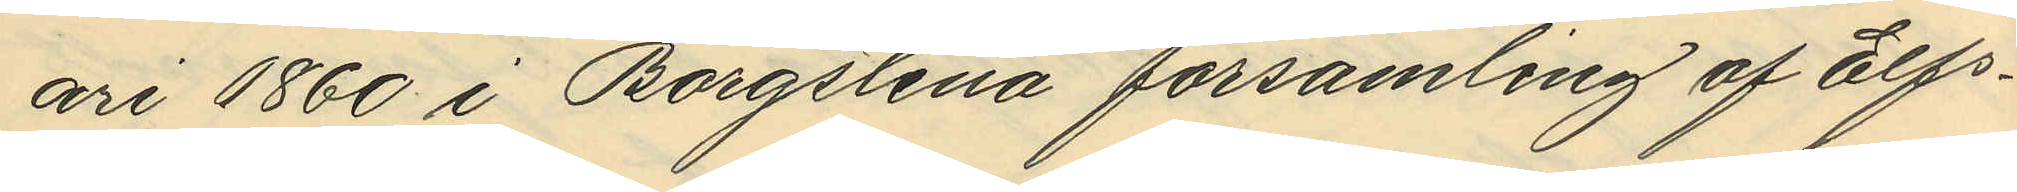ari 1860 i Borgstena församling af Elfs¬
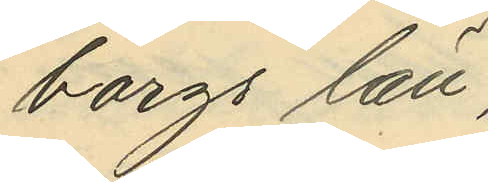borgs län,
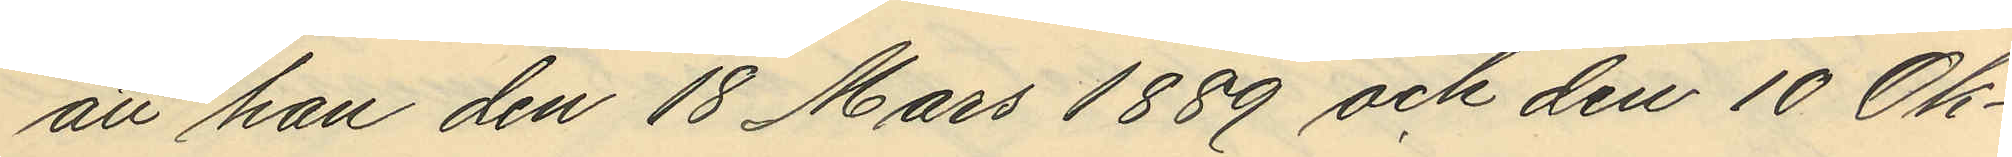att han den 18 Mars 1889 och den 10 Ok¬
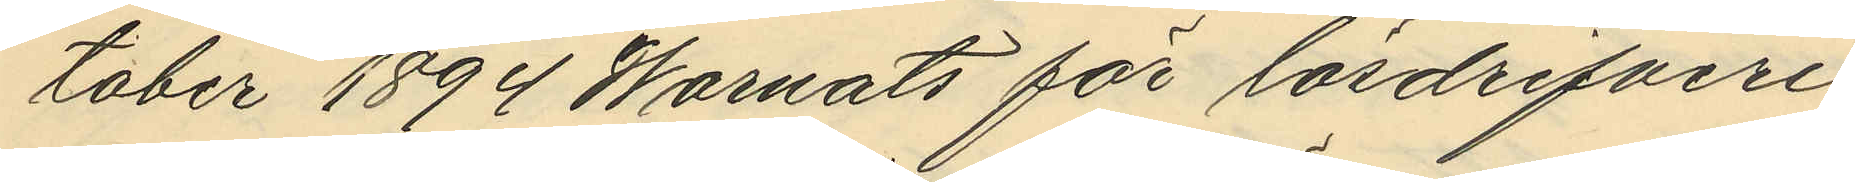tober 1894 Warnats för lösdrifveri
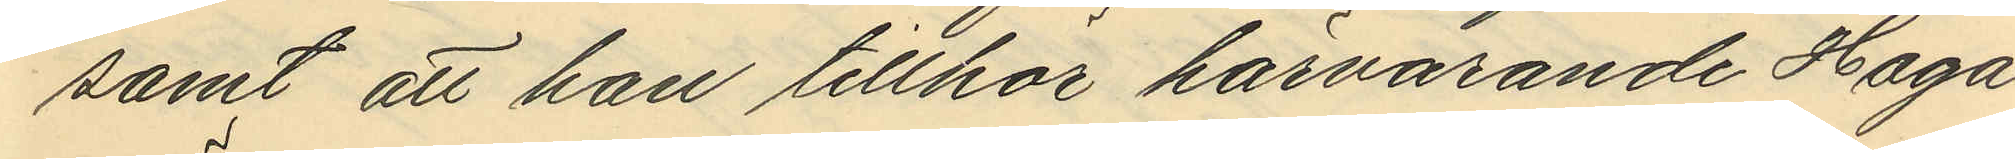samt att han tillhör härvarande Haga
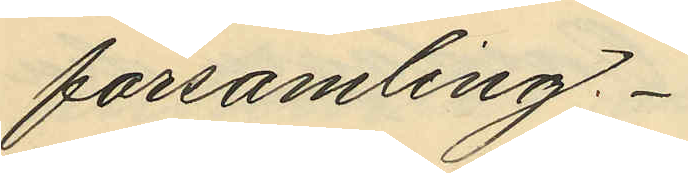församling.
